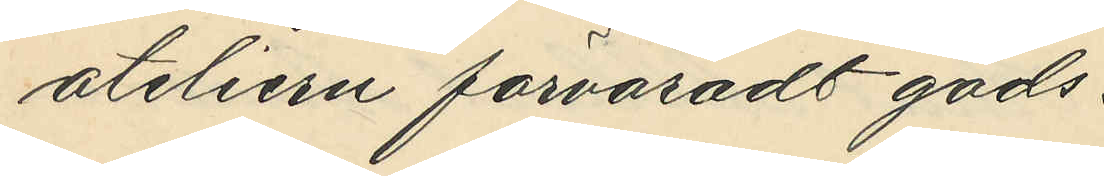ateliern förvaradt gods:
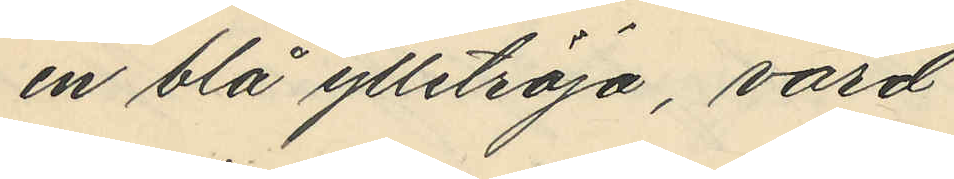en blå ylletröja, värd
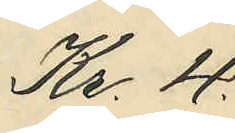Kr. 4
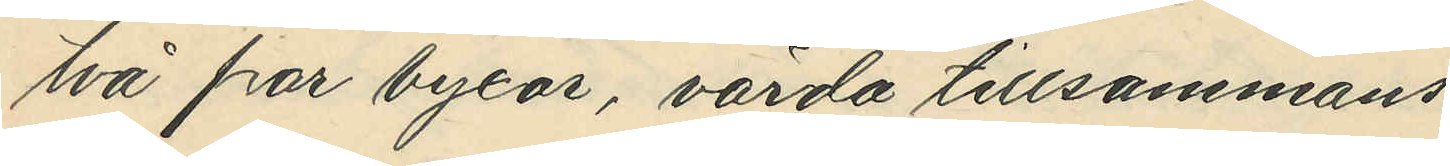två par byxor, värda tillsammans
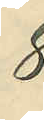8
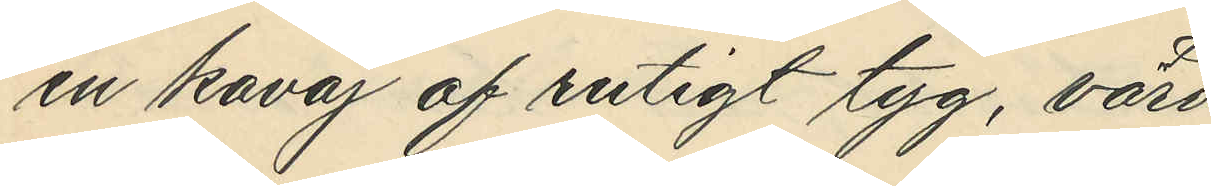en kavaj af rutigt tyg, värd
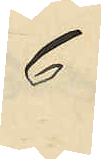6
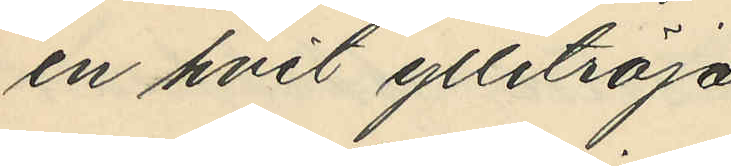en hvit ylletröja
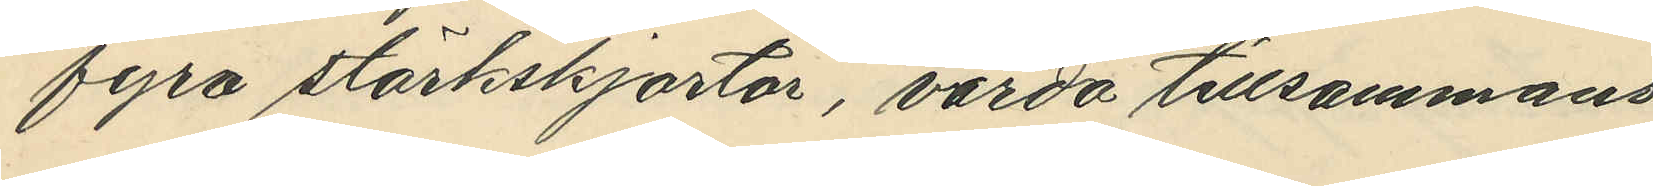fyra stärkskjortor, värda tillsammans
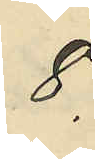8
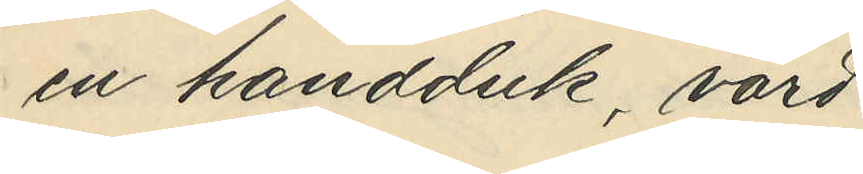en handduk, värd
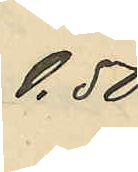0.50
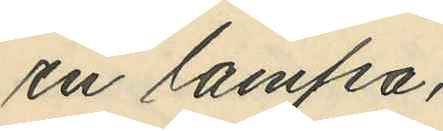en lampa
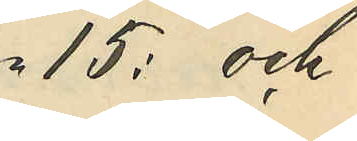15: och
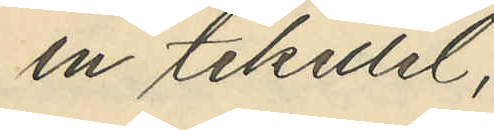en tekittel
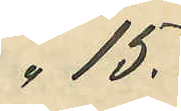"15.
